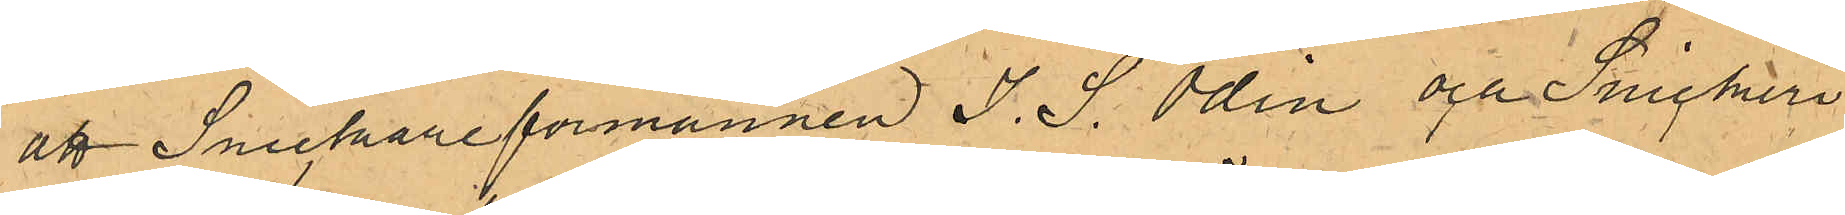att Snickareförmannen J. S. Odin och Snickeri
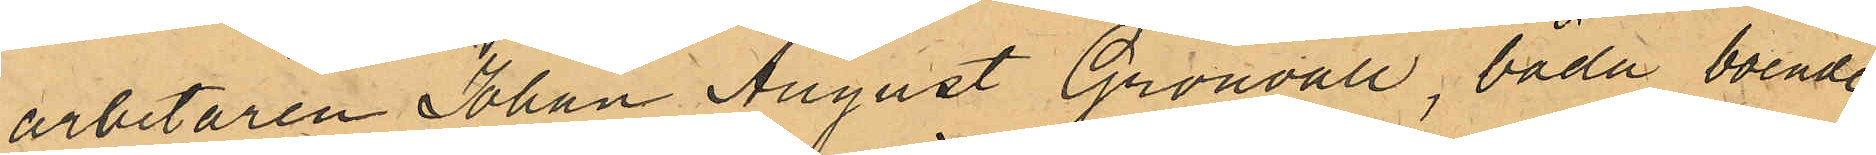arbetaren Johan August Grönvall, båda boende
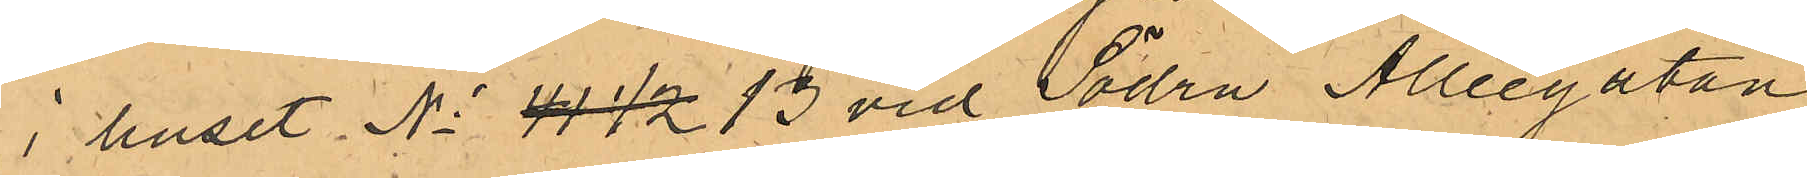i huset No 41 1/2 13 vid Södra Alleegatan
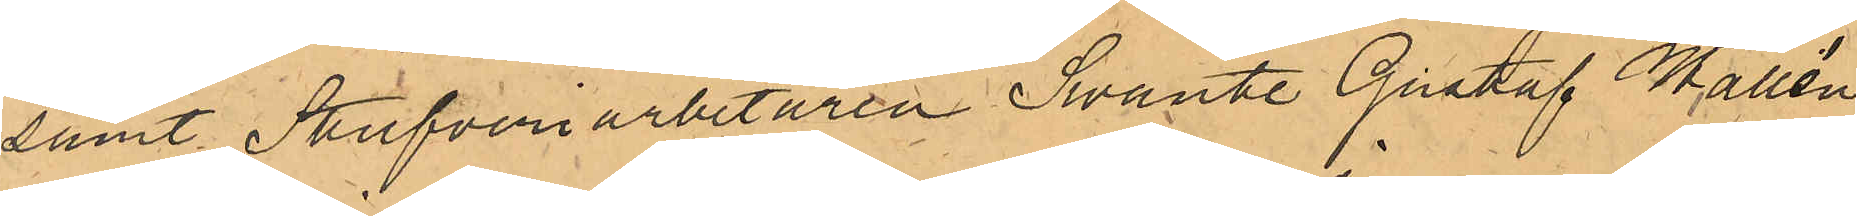samt Stufveriarbetaren Swante Gustaf Wallén,
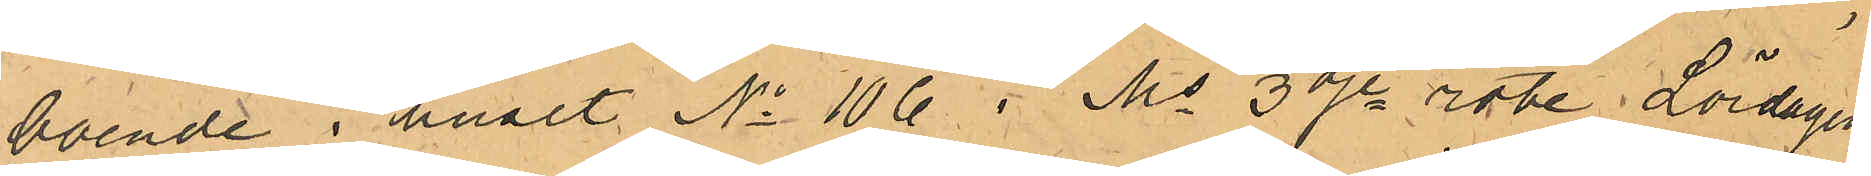boende i huset No 106 i Ms 3dje rote Lördagen
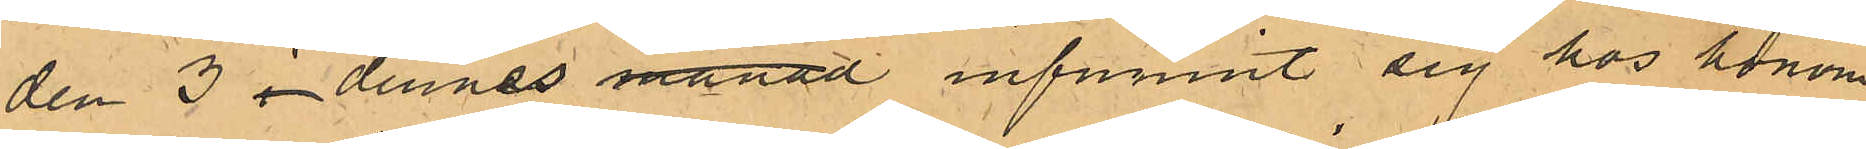den 3 i dennes månad infunnit sig hos honom
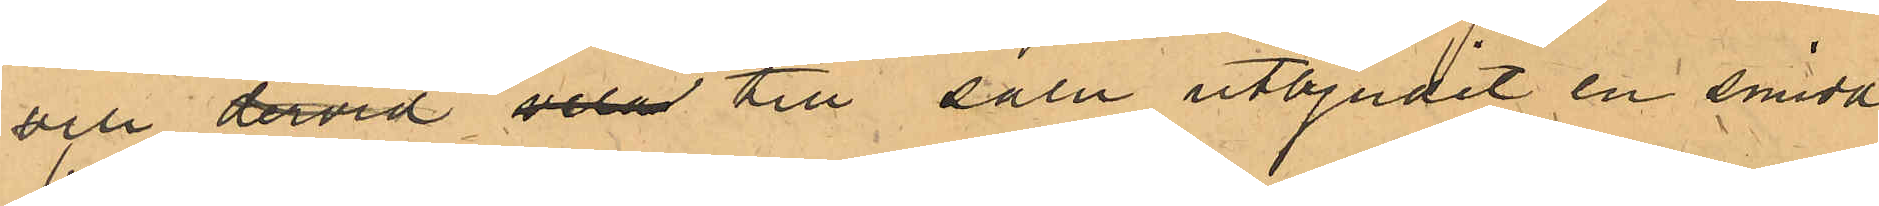och dervid vela till salu utbjudit en smidd
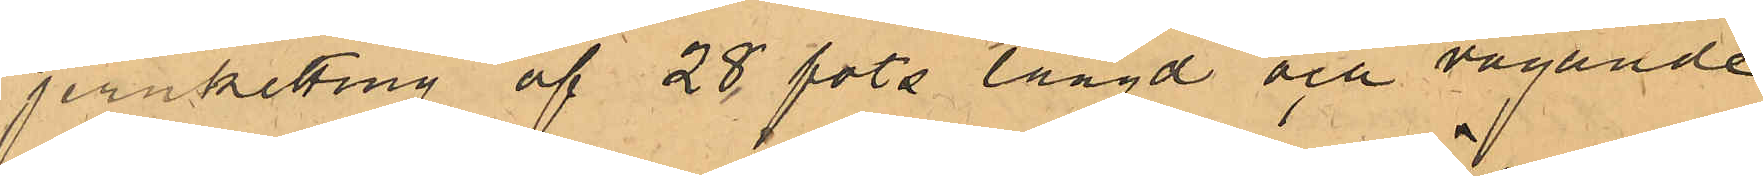jernketting af 28 fots längd och vägande
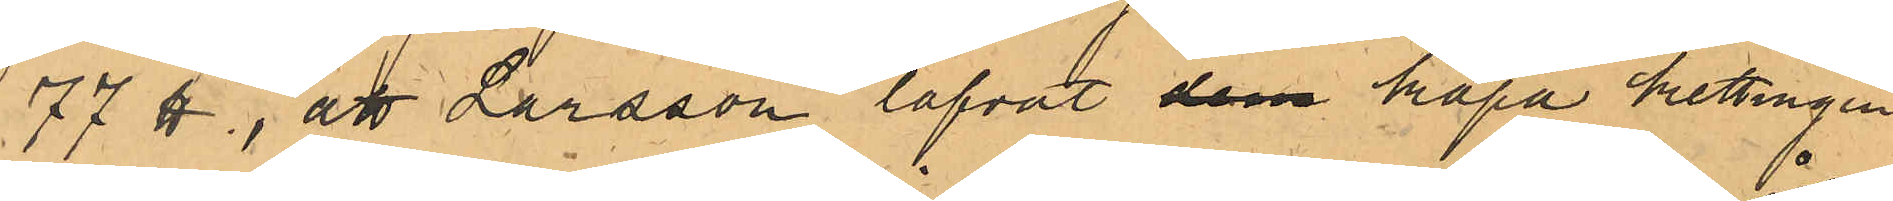77 ℔, att Larsson lofvat dem köpa kettingen
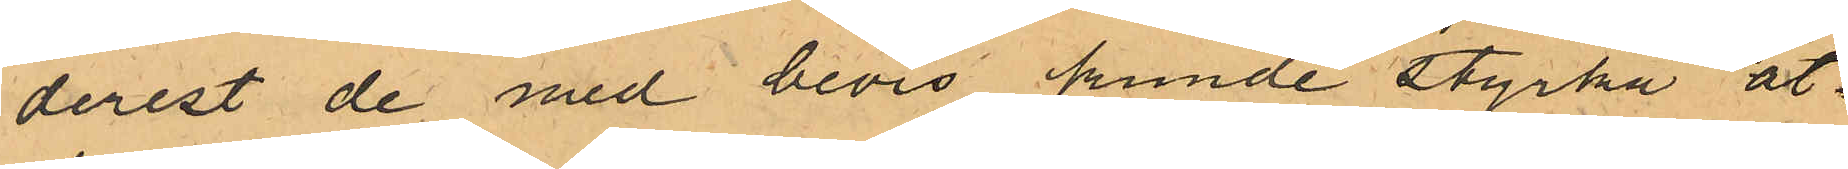derest de med bevis kunde styrka åt¬
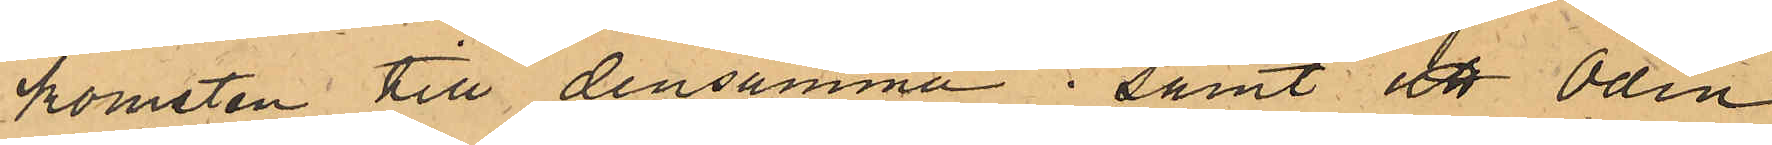komsten till densamma; samt att Odin
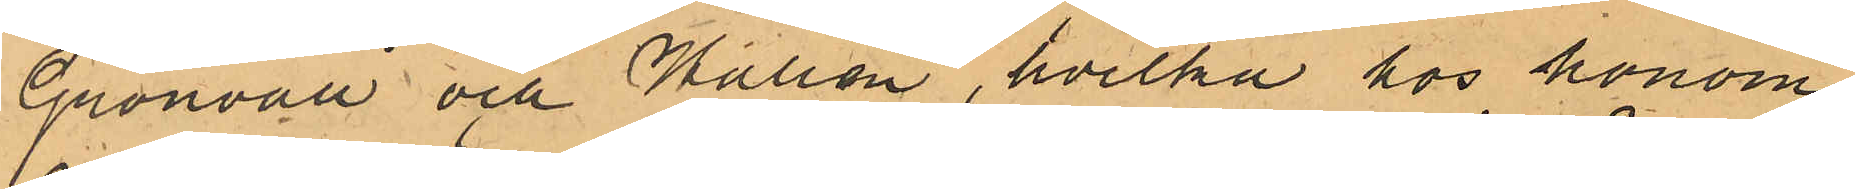Grönvall och Wallén, hvilka hos honom
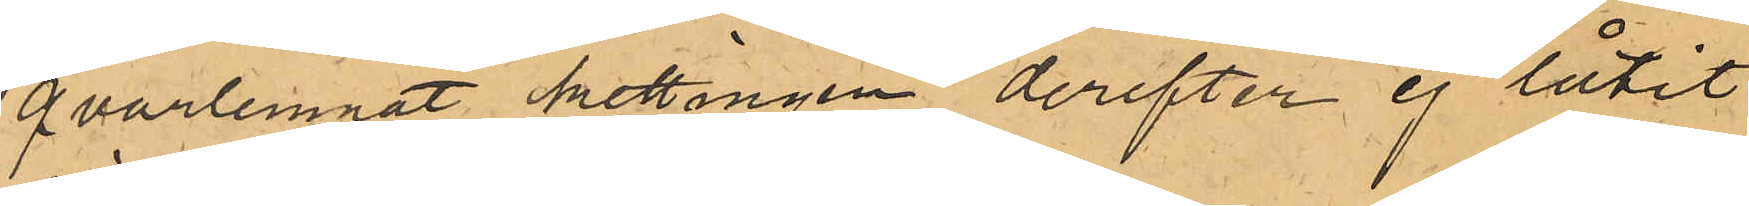qvarlemnat kettingen derefter ej låtit
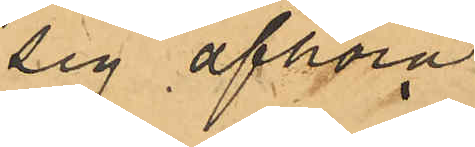sig afhöra.
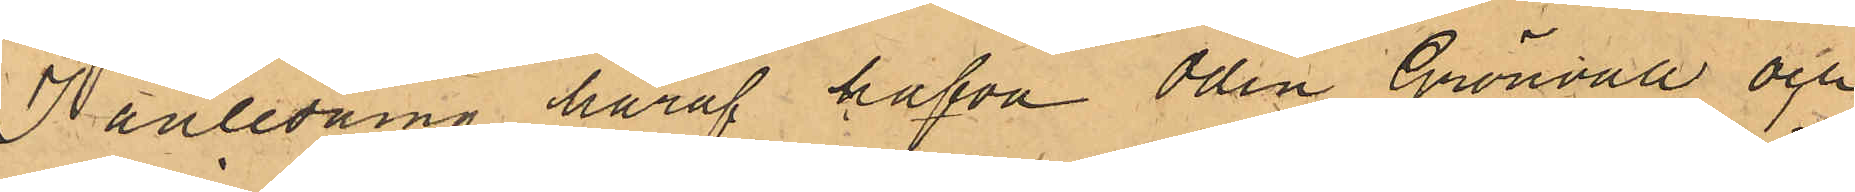I anledning häraf hafva Odin, Grönvall och
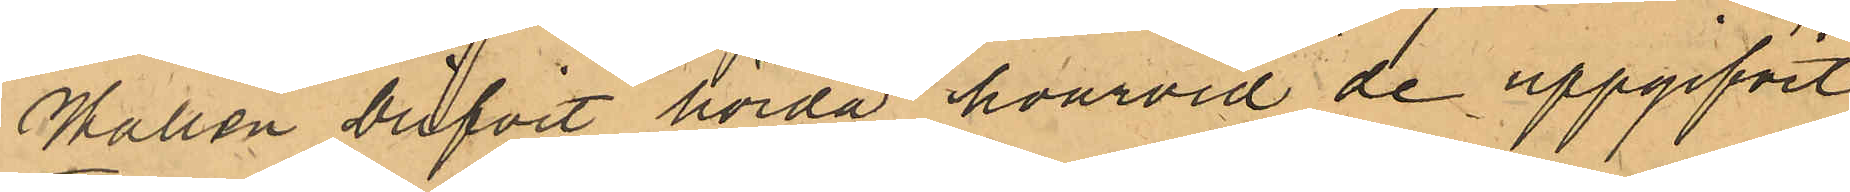Wallén blifvit hörda, hvarvid de uppgifvit
